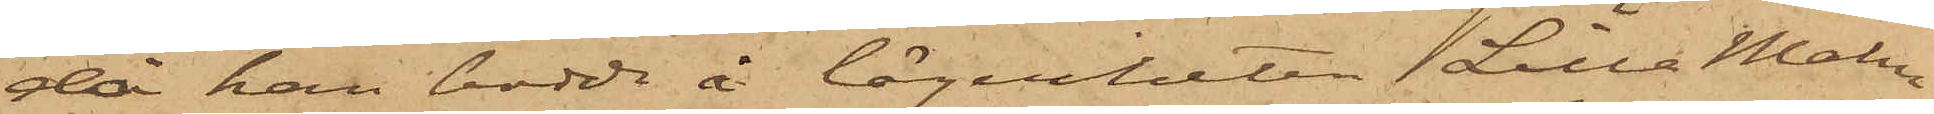då han bodde å lägenheten Lilla Malm¬
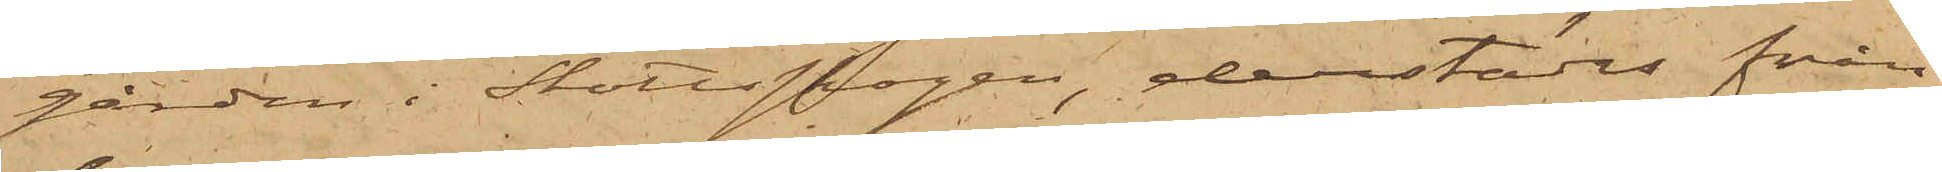gården i Slottsskogen, derstädes från
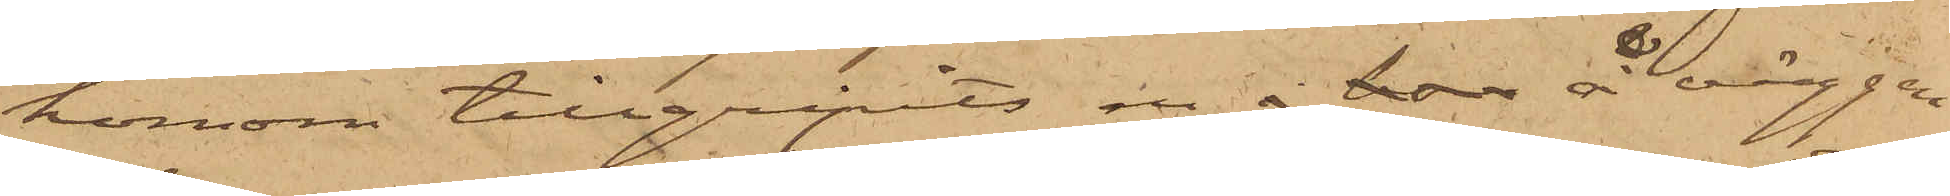honom tillgripits en å bon å väggen
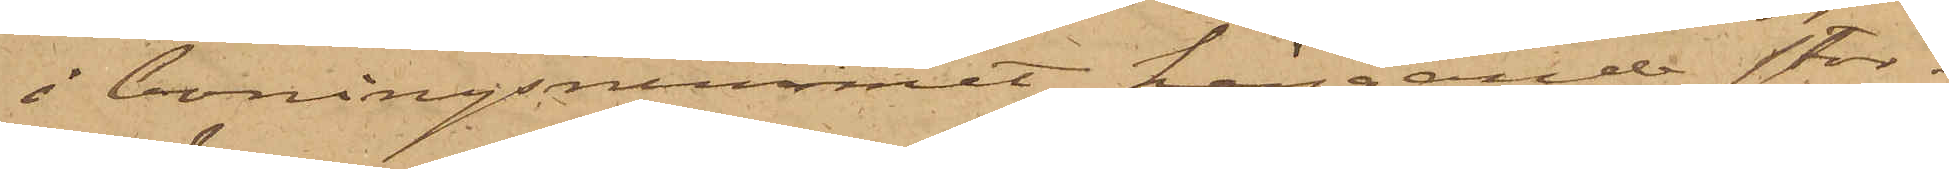i boningsrummet hängande stor¬
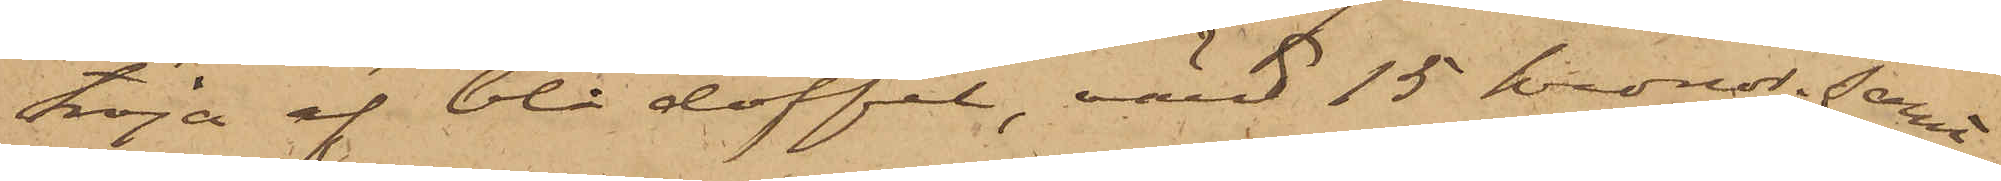tröja af blå doffel, värd 15 kronor; samt
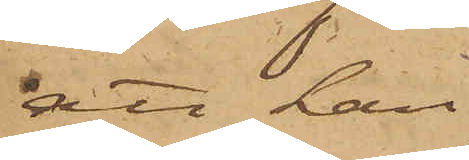att han
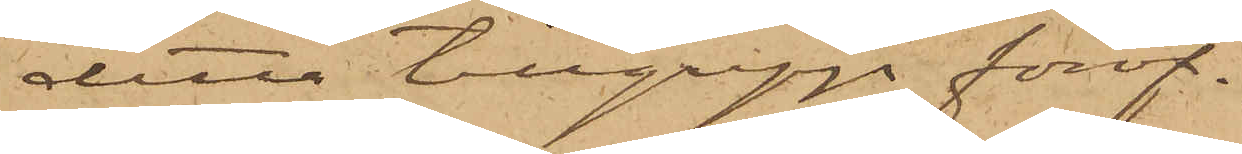detta tillgrepp föröf¬
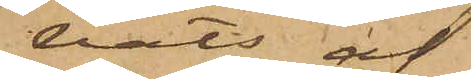vats af
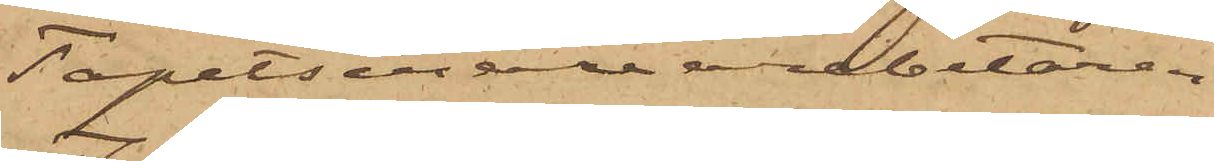Tapetserarearbetaren
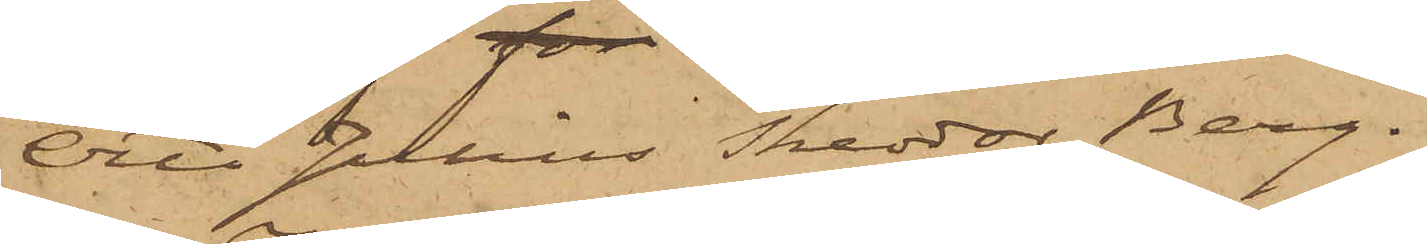Otto Julius Thedor Berg.
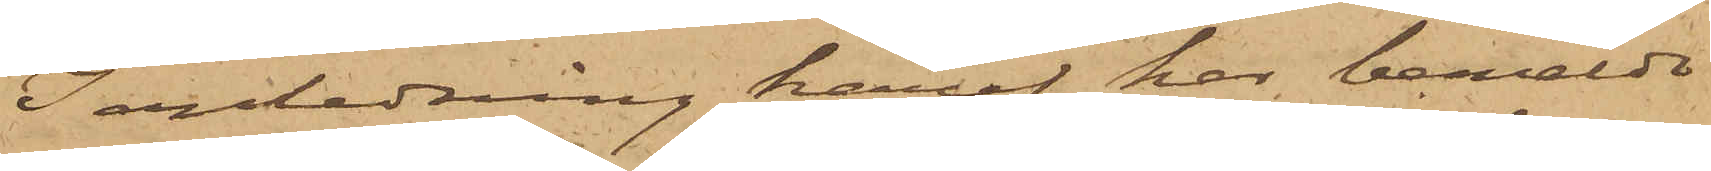I anledning häraf har bemälde
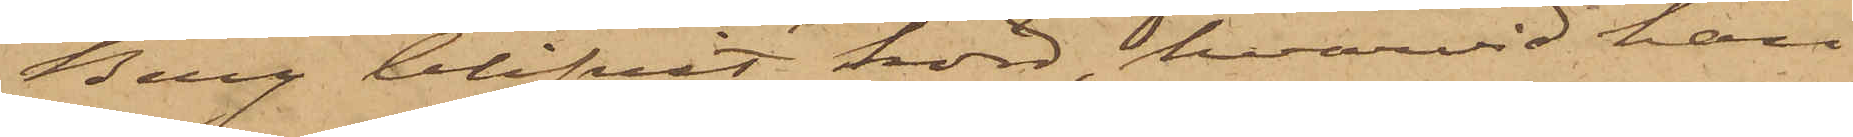Berg blifvit hörd, hvarvid han
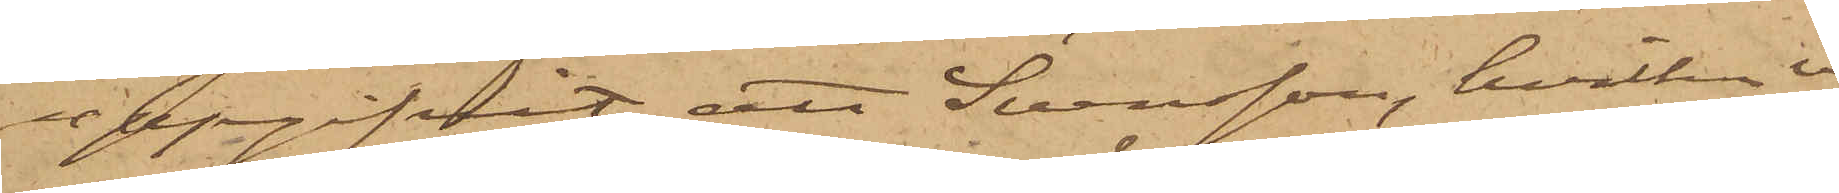uppgifvit, att Svensson, hvilken vid
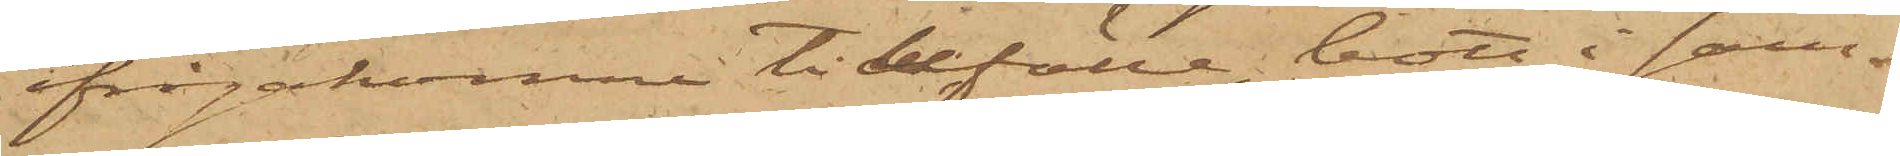ifrågakomne tillfälle bott i sam¬
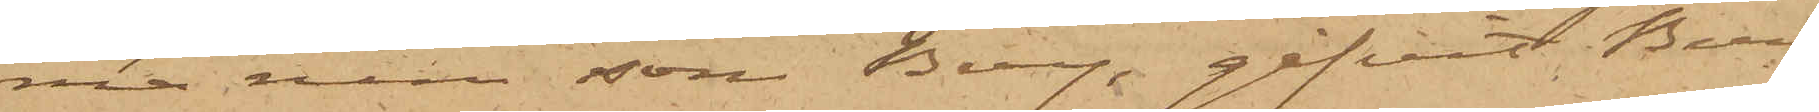ma rum som Berg, gifvit Berg
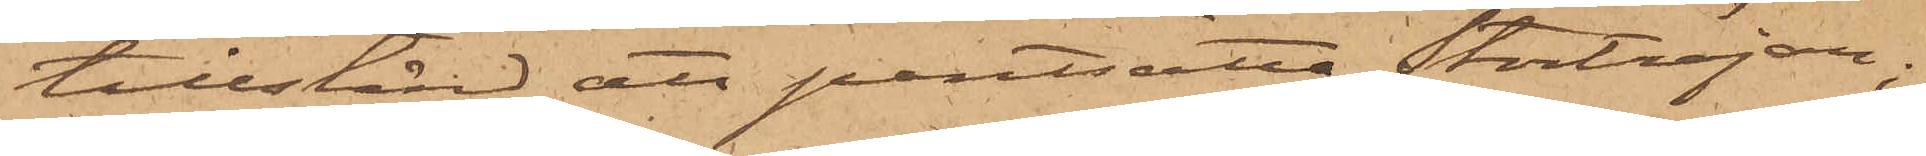tillstånd att pantsatta Stortröjan;
